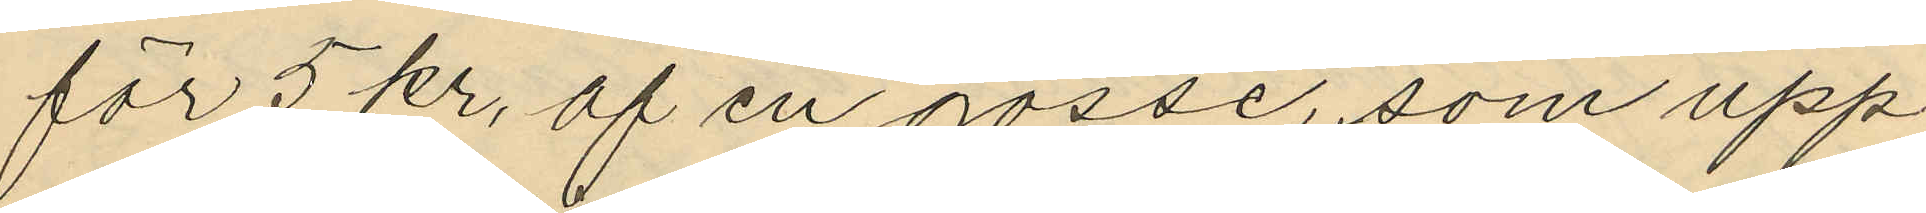för 5 kr, af en gosse, som upp
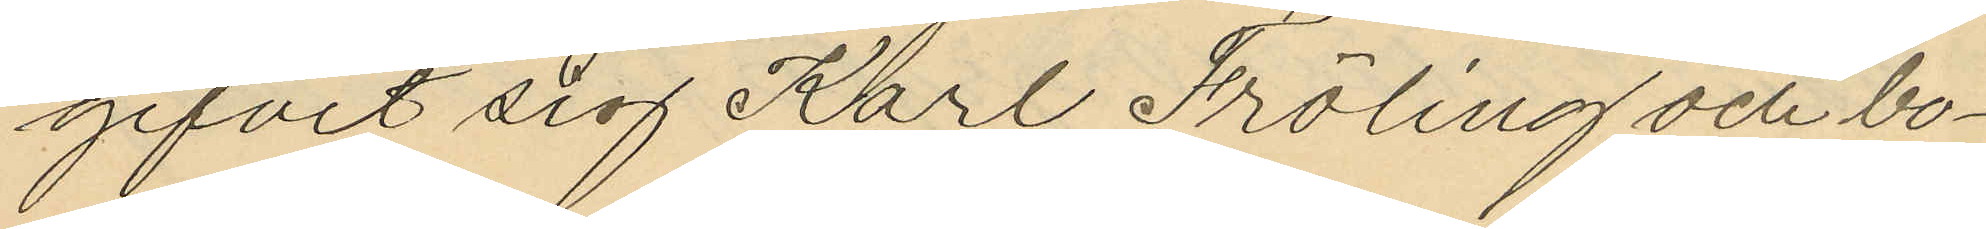gifvit sig Karl Fröling och bo¬
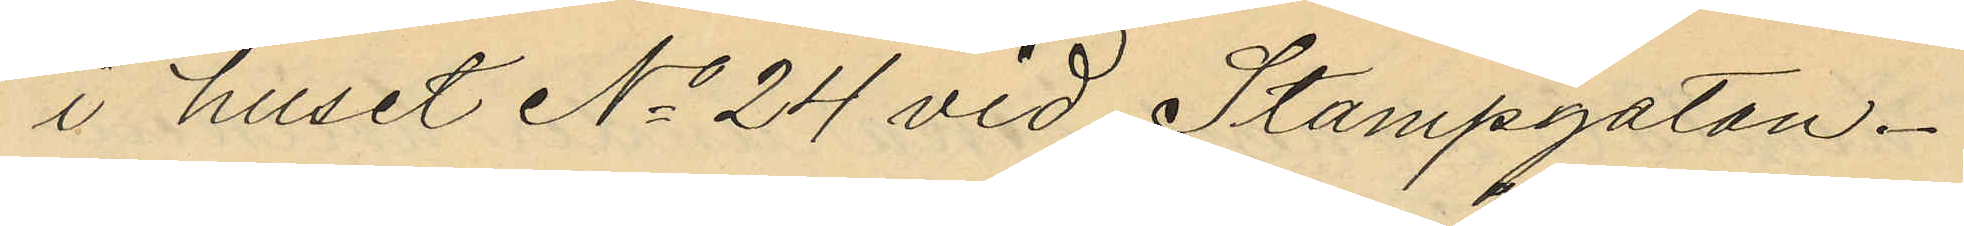i huset No 24 vid Stampgatan.
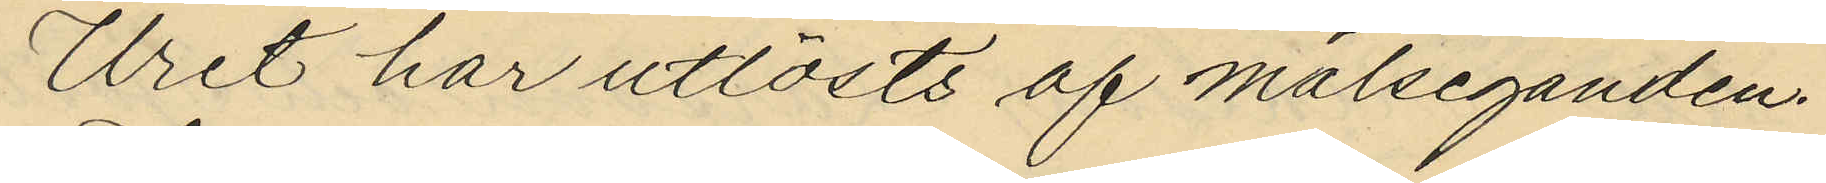Uret har utlösts af målseganden.
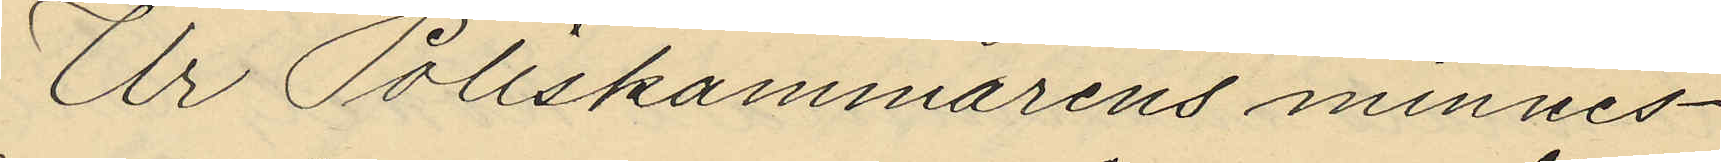Ur Poliskammarens minnes¬
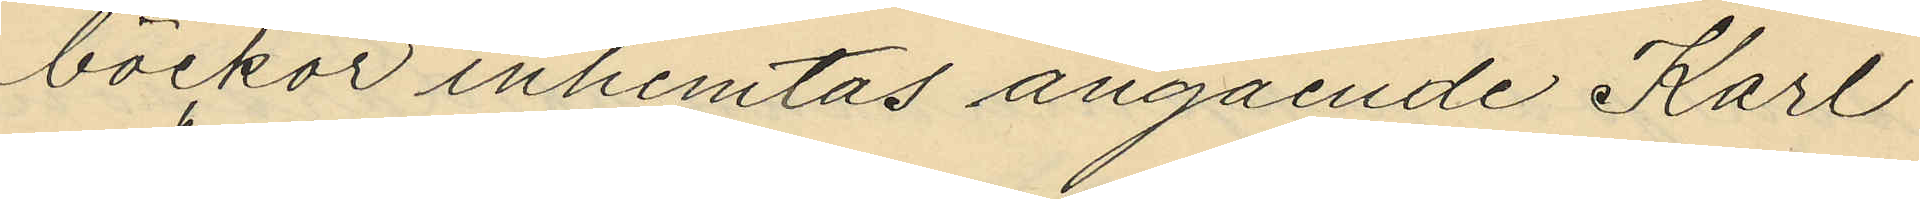böckor inhemtas angående Karl
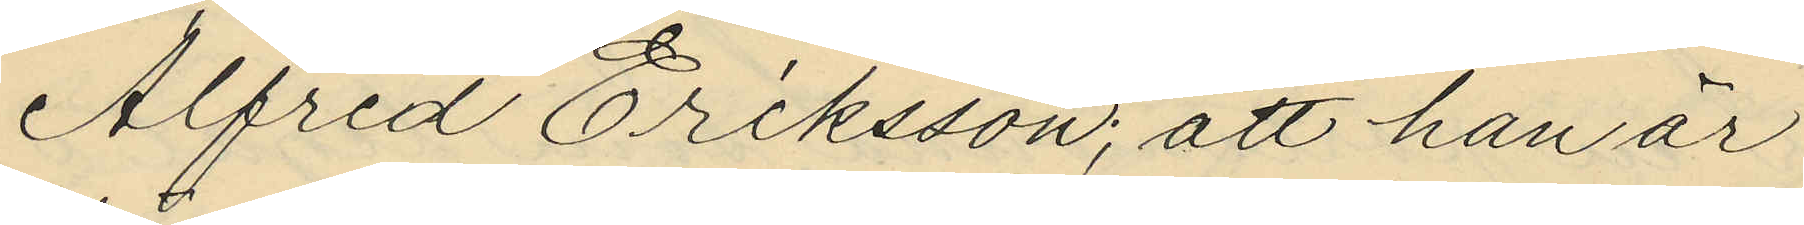Alfred Eriksson; att han är
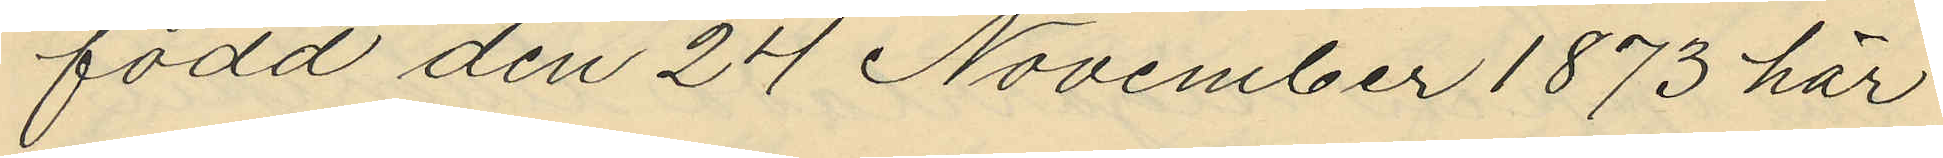född den 24 November 1873 här
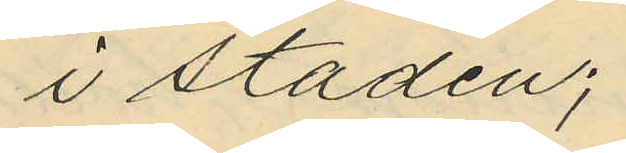i staden;
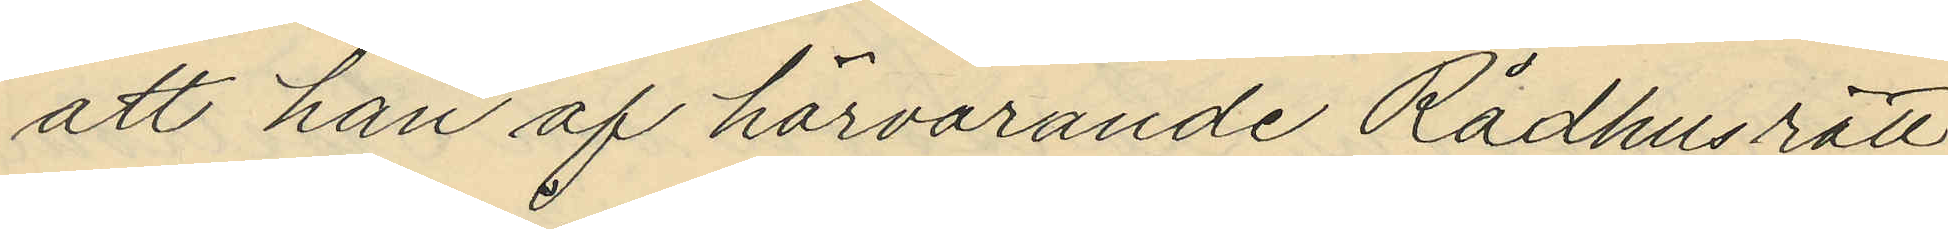att han af härvarande Rådhusrätt
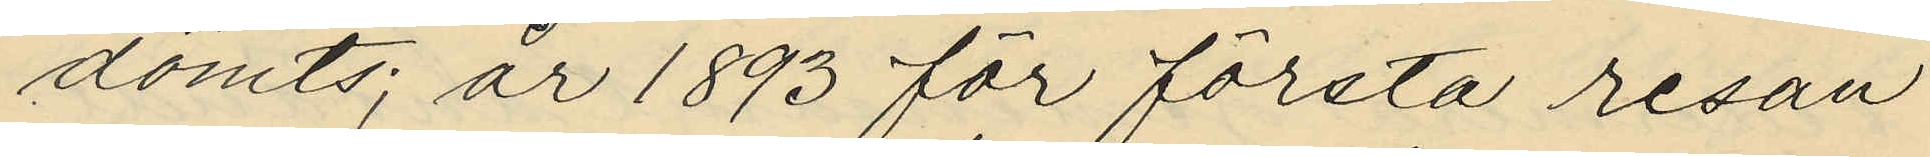dömts; år 1893 för första resan
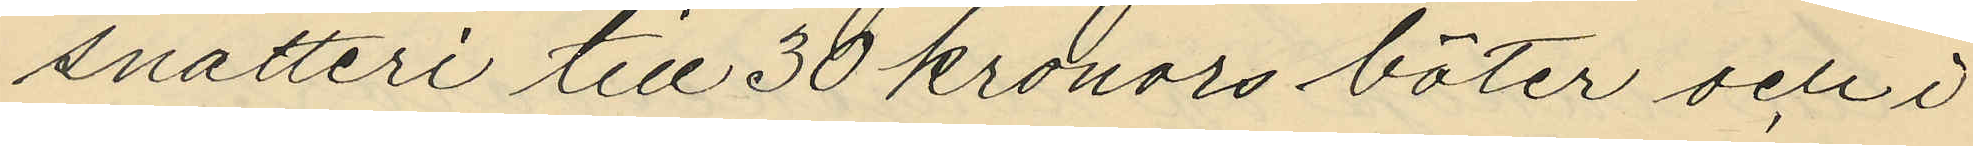snatteri till 50 kronors böter och i
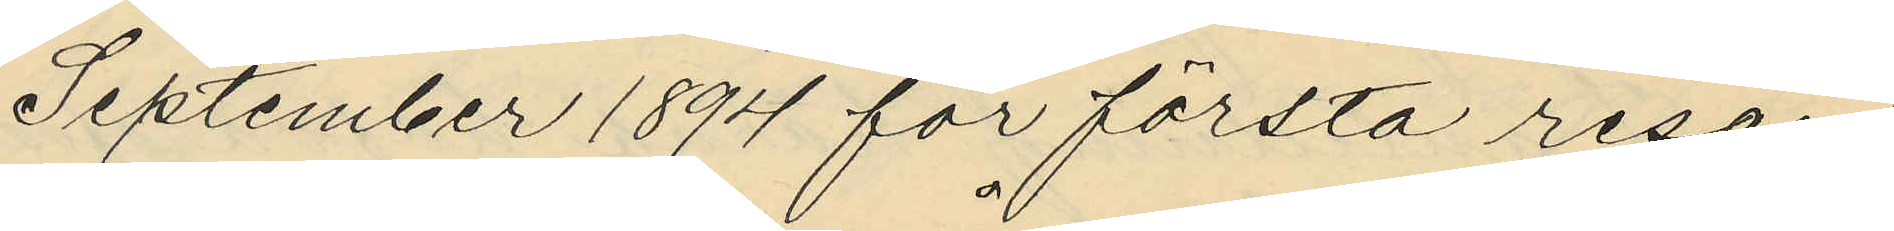September 1894 för första resan
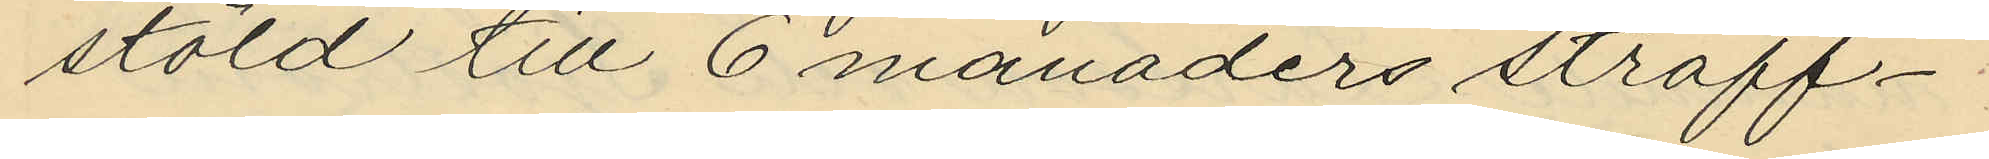stöld till 6 månaders straff¬
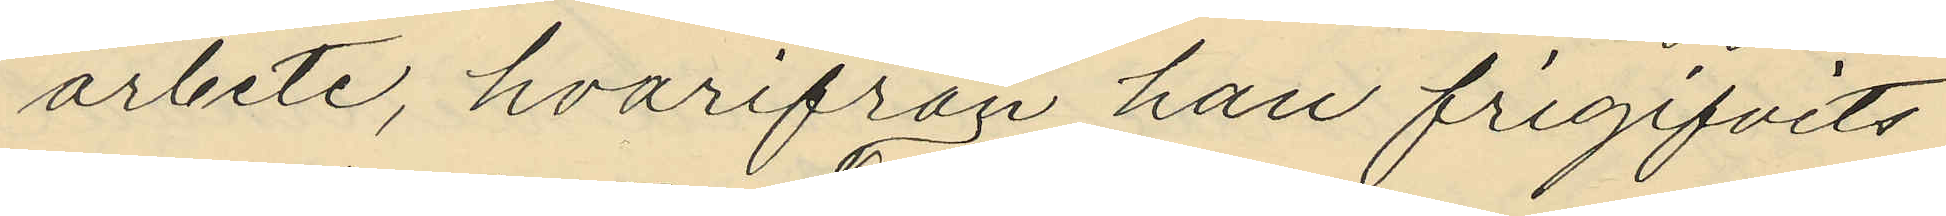arbete, hvarifrån han frigifvits
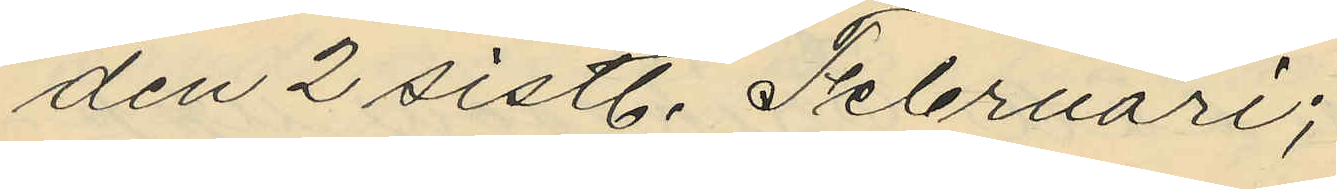den 2 sistl. Februari;
